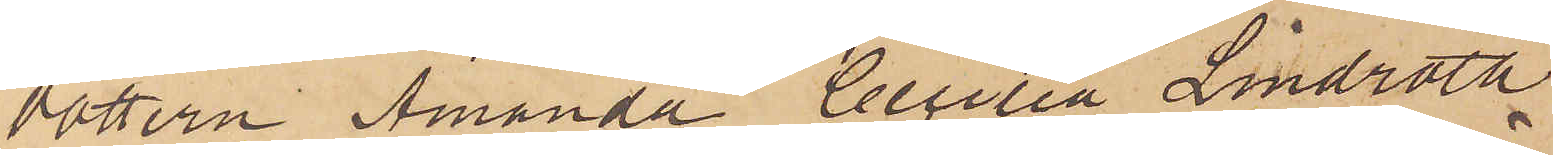dottern Amanda Cecilia Lindroth
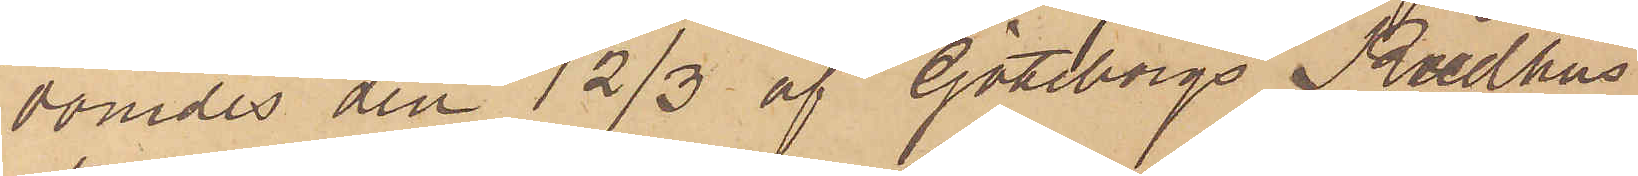dömdes den 12/3 af Göteborgs Rådhus
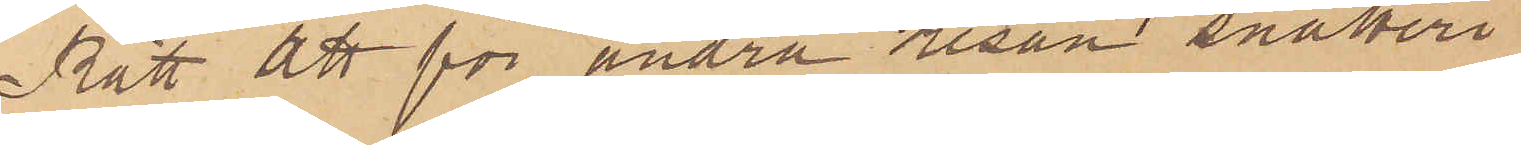Rätt att för andra resan snatteri
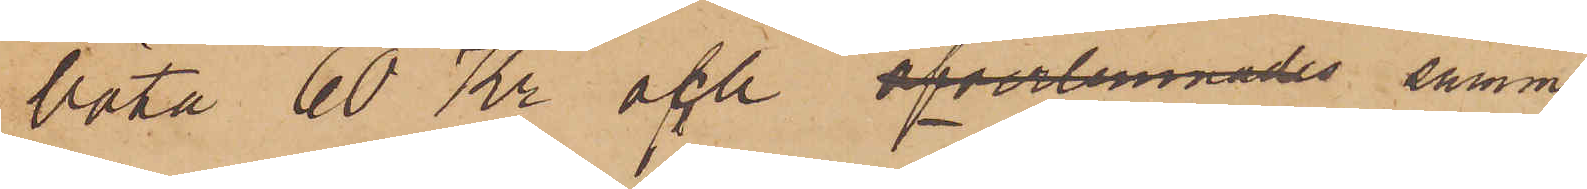böta 60 Kr och öfverlemnades samma
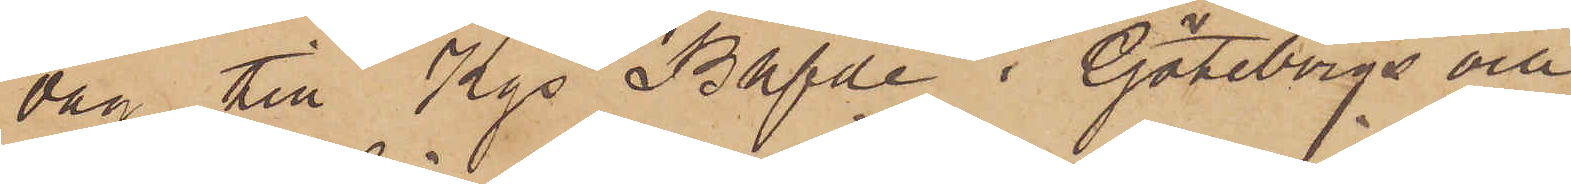dan till Kgs Bhfde i Göteborgs och
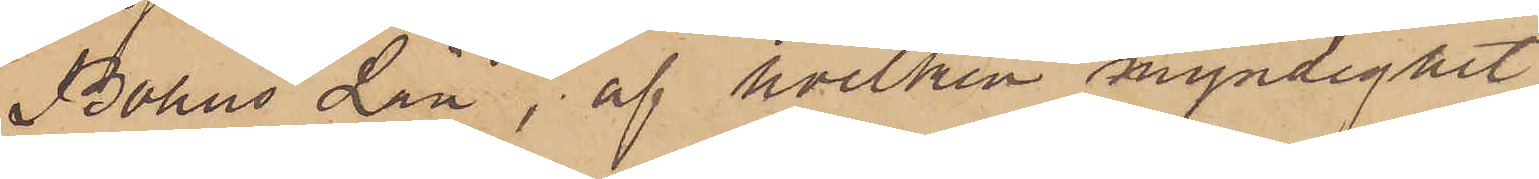Bohus Län, af hvilken myndighet
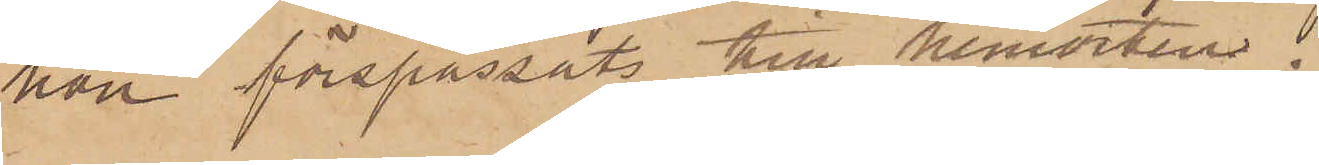hon förspassats till hemosten.
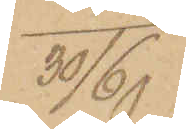30/6
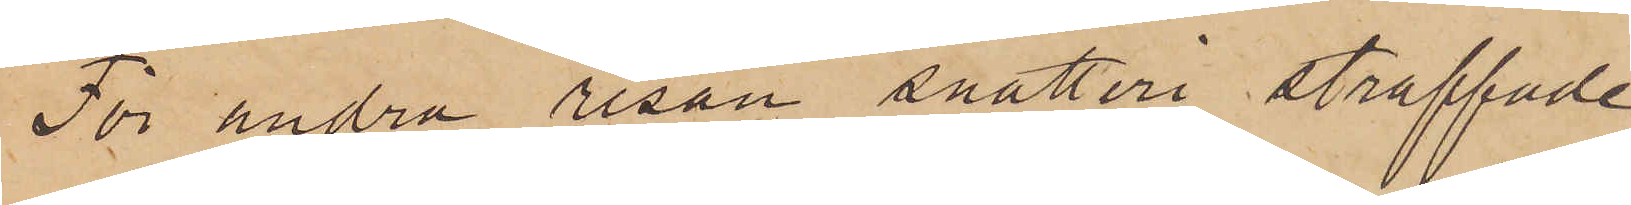För andra resan snatteri straffade
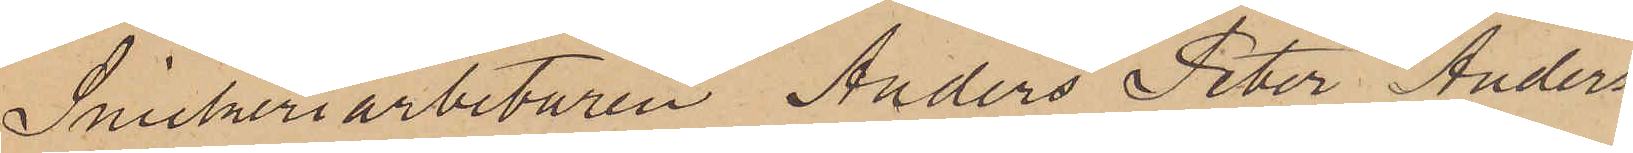Snickeriarbetaren Anders Peter Anders¬
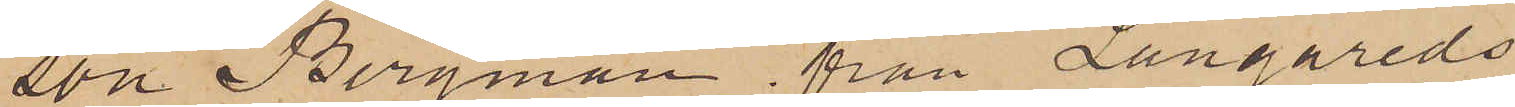son Bergman, från Långareds
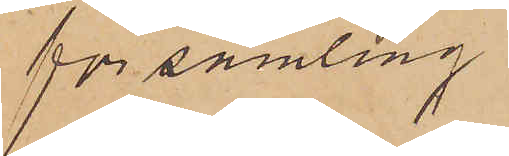församling
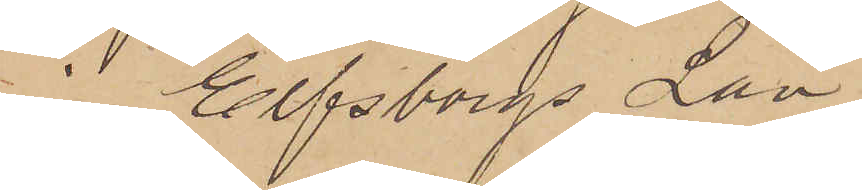i Elfsborgs Län
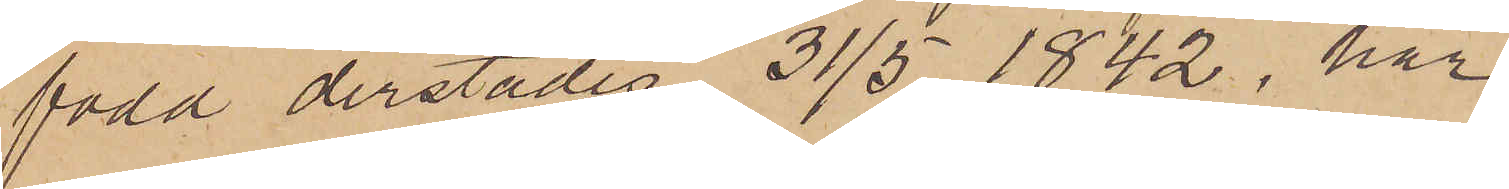född derstädes 31/5 1842, har
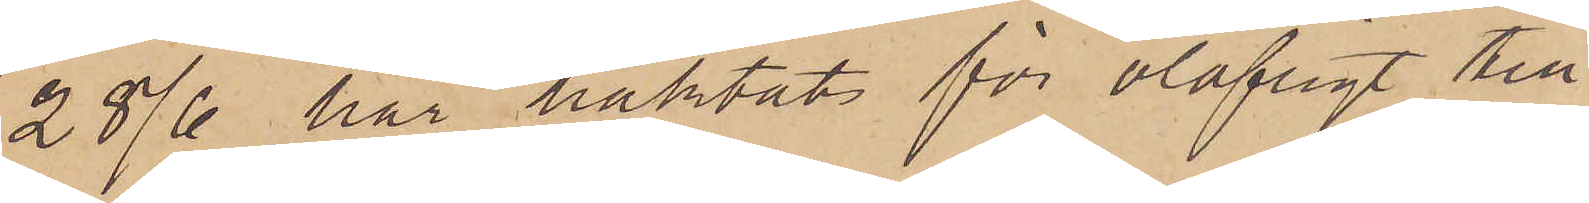28/6 här häktat för olofligt till
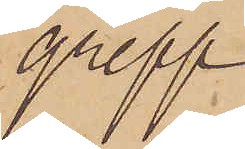grepp
